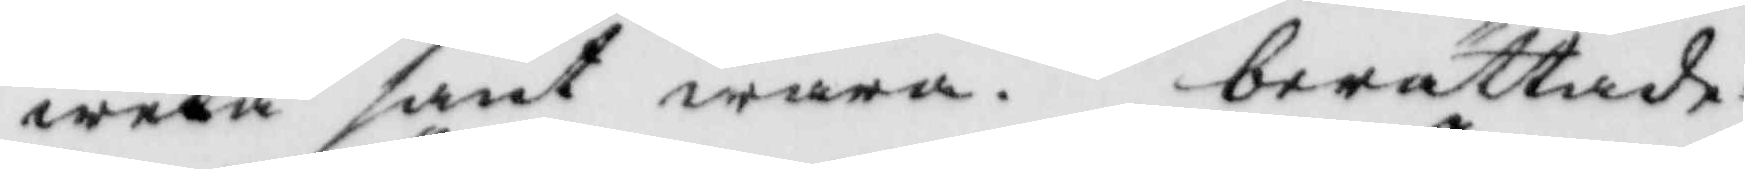weta sant wara. berättade:
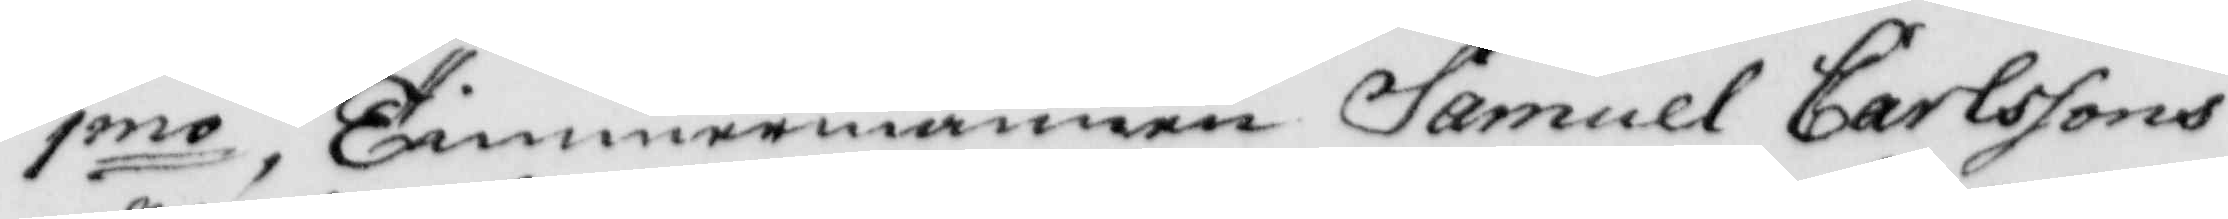1mo, Timmermannen Samuel Carssons
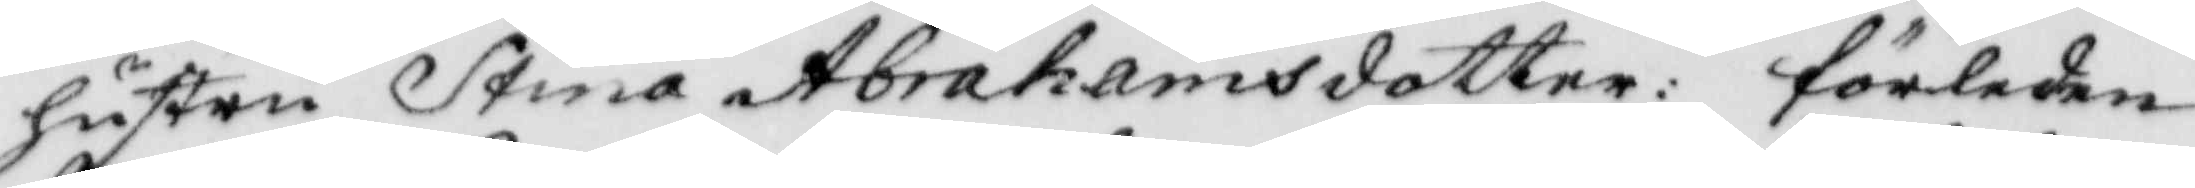hustru Stina Abrahamsdotter: förleden
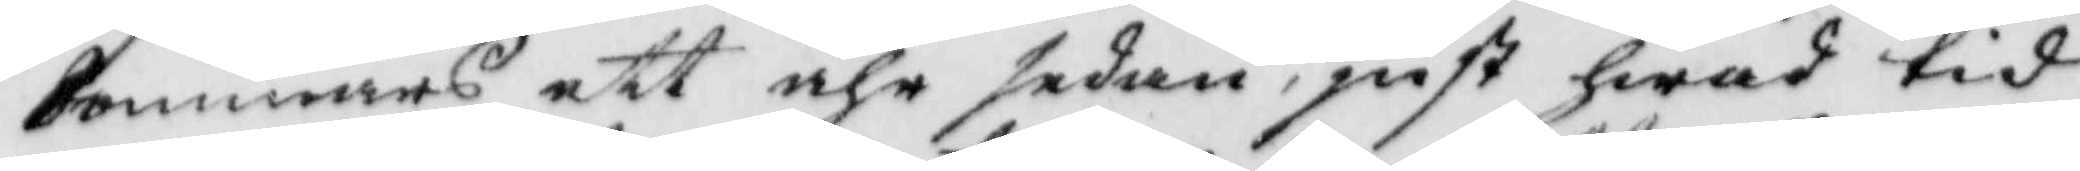Sommars ett åhr sedan, just hwad tid
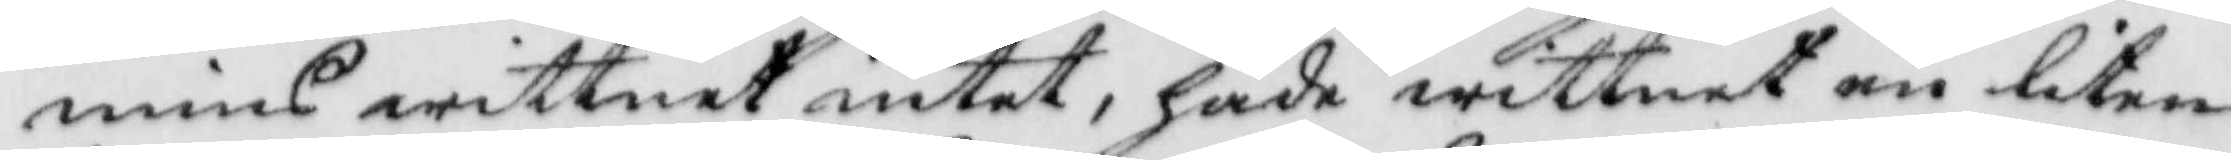mins wittnet intet, hade wittnet en liten
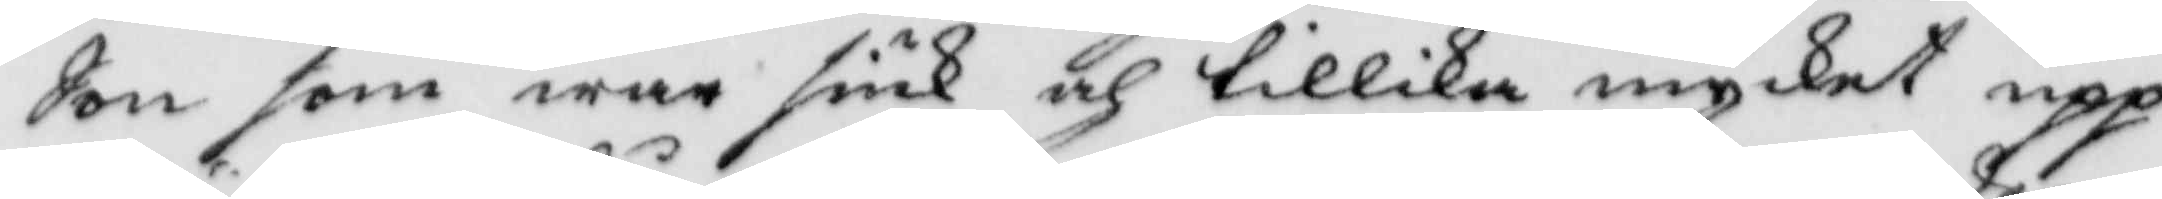Son som war siuk och tillika mycket upp¬
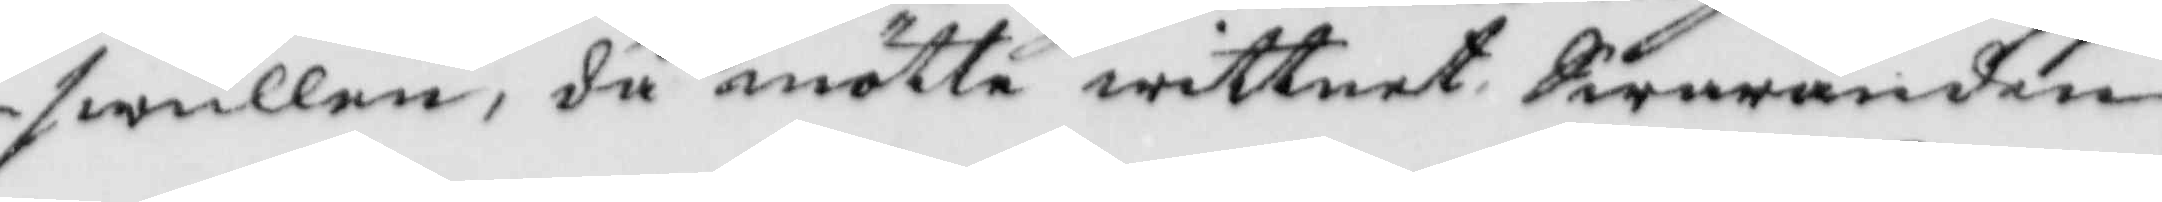swullen, då mötte wittnet Swaranden
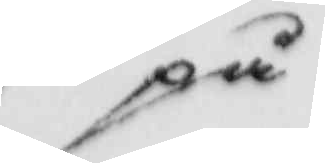på
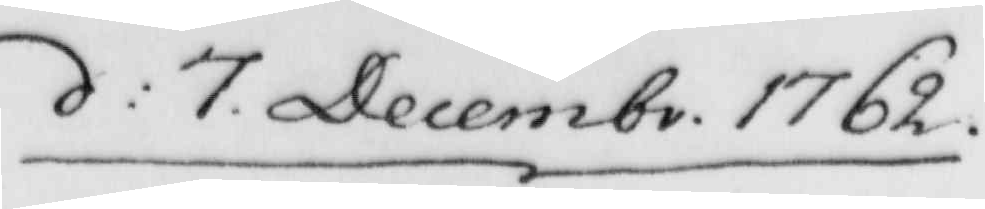d: 7 Decembr. 1762
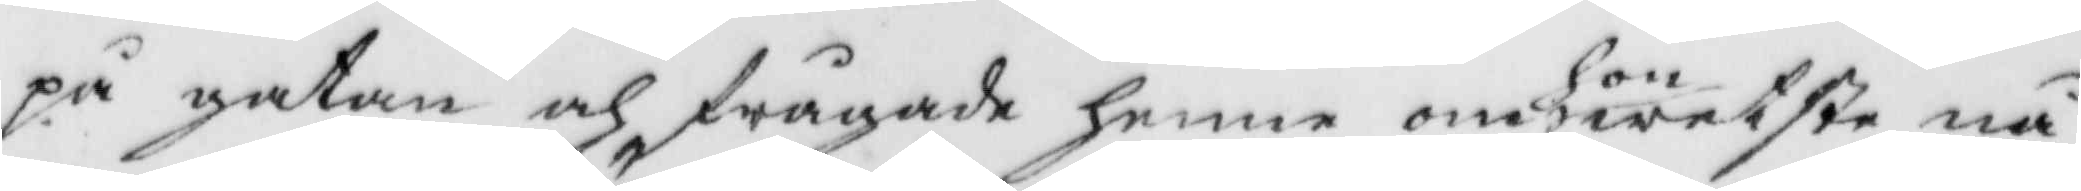på gatan och frågade henne om hon wiste nå¬
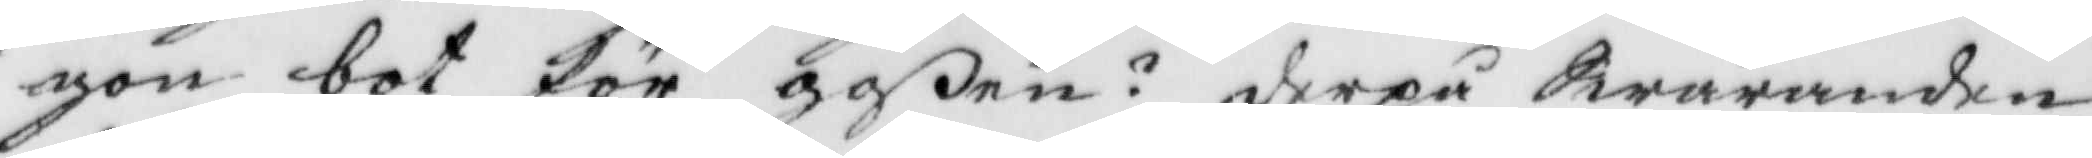gon bot för goßen? derpå Swaranden
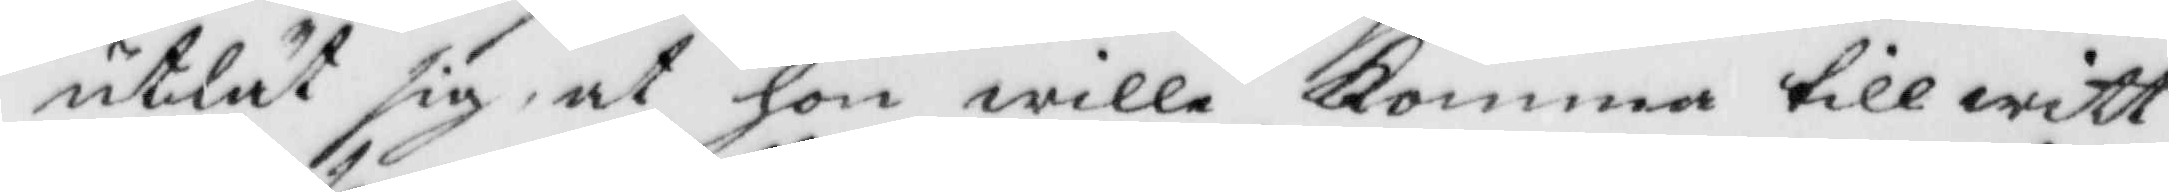utlät sig, at hon wille komma till witt¬
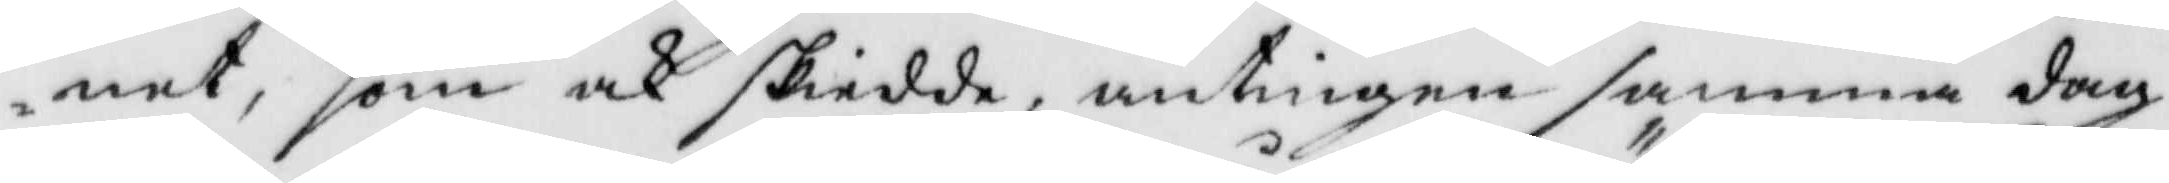net, som och skiedde, antingen samma dag
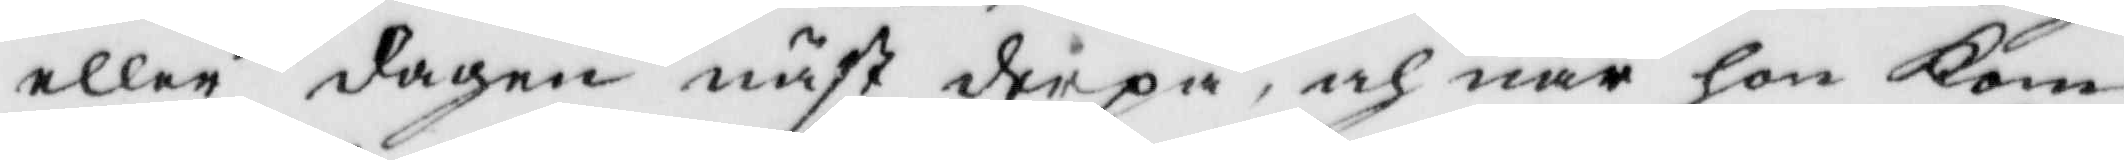eller dagen näst derpå, och när hon kom
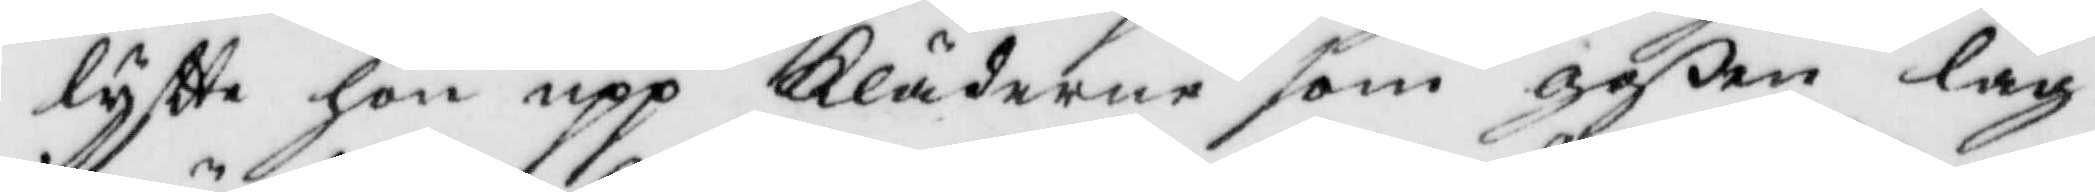lyftte hon up Kläderne som goßen låg
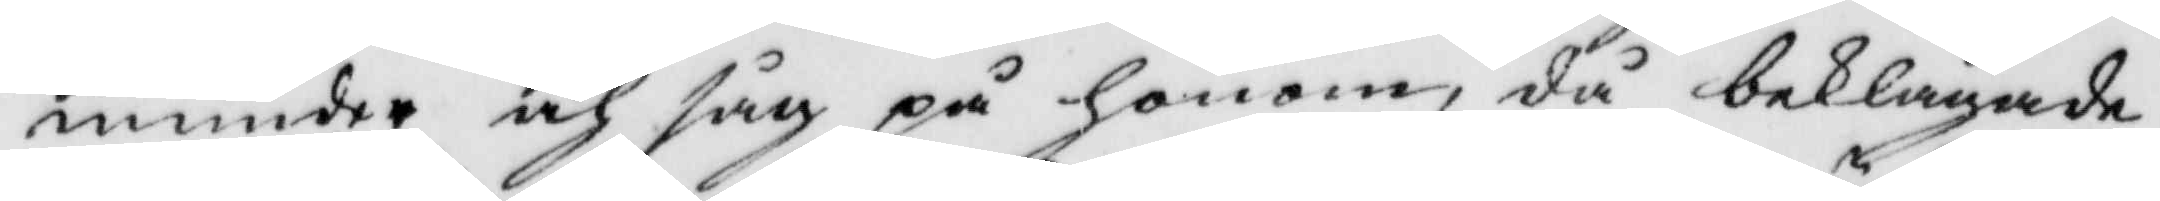inunder och såg på honom, då beklagade
